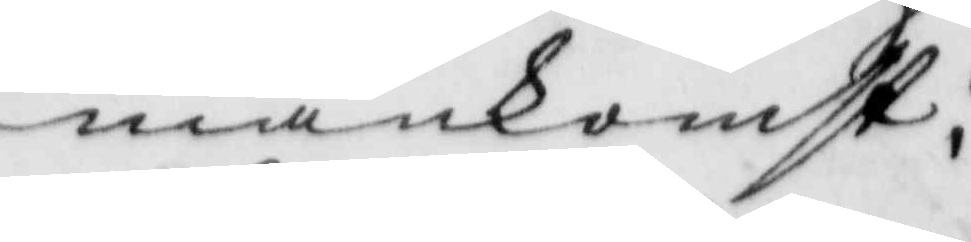mankomst.
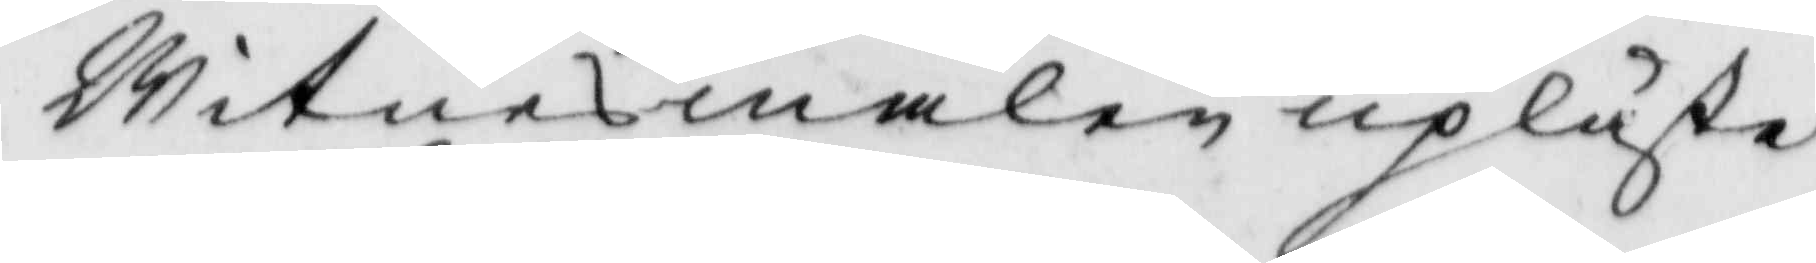Witnemålen upläste
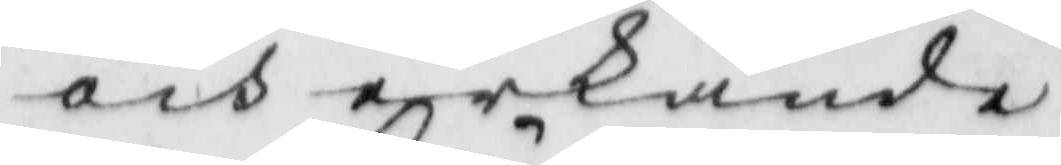och erkände.
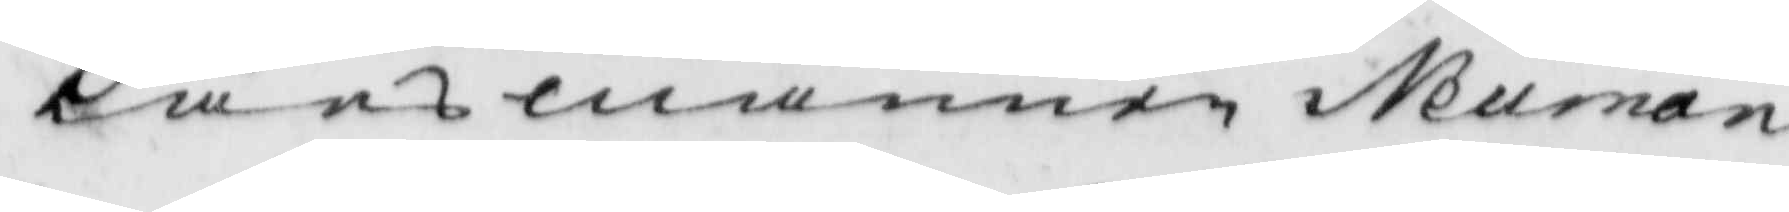Länsmannen Neuman
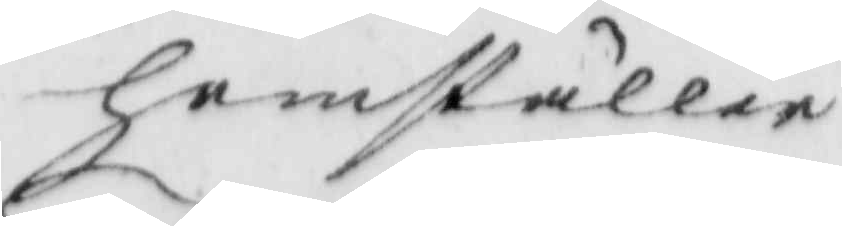hemställer
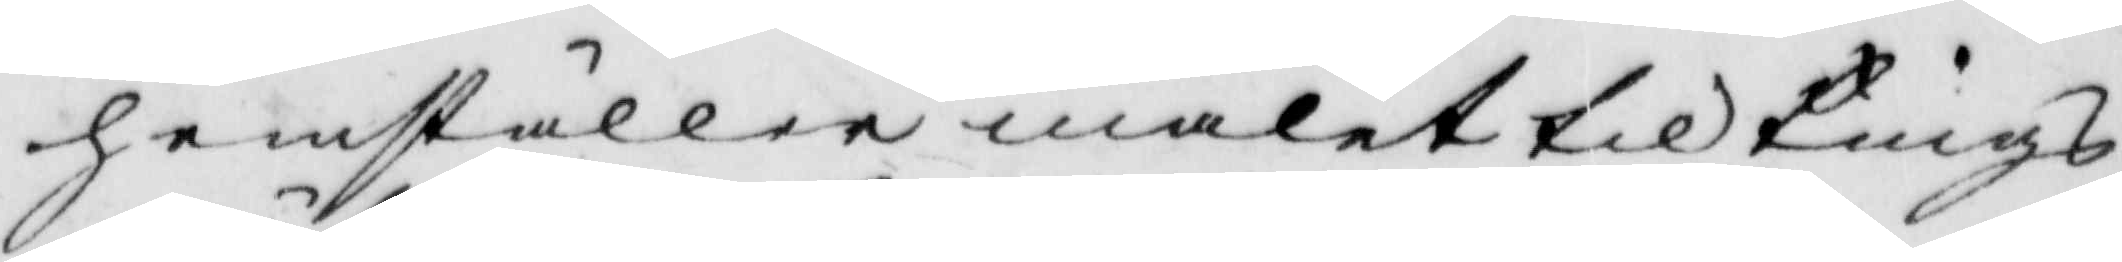hemställer målet till Tings¬
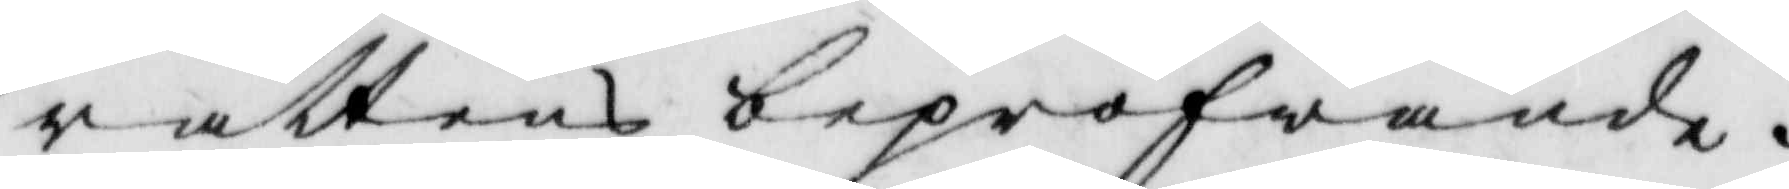rättens bepröfwande.
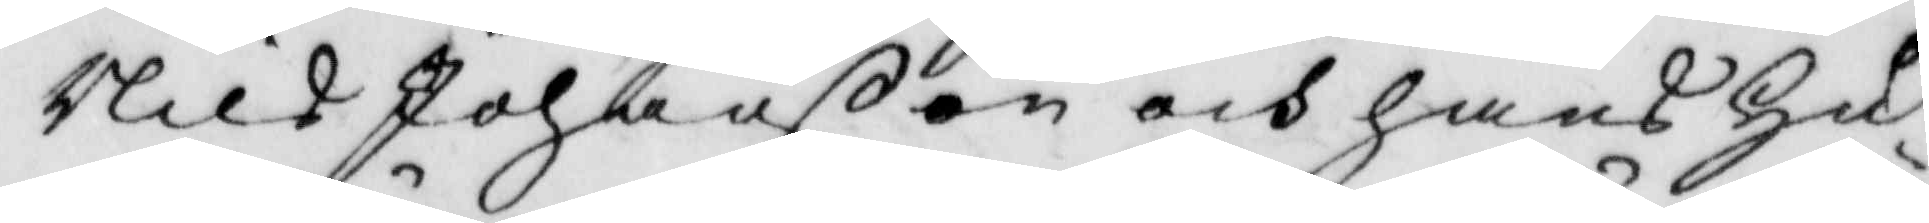Nils Johanßon och hans hu¬
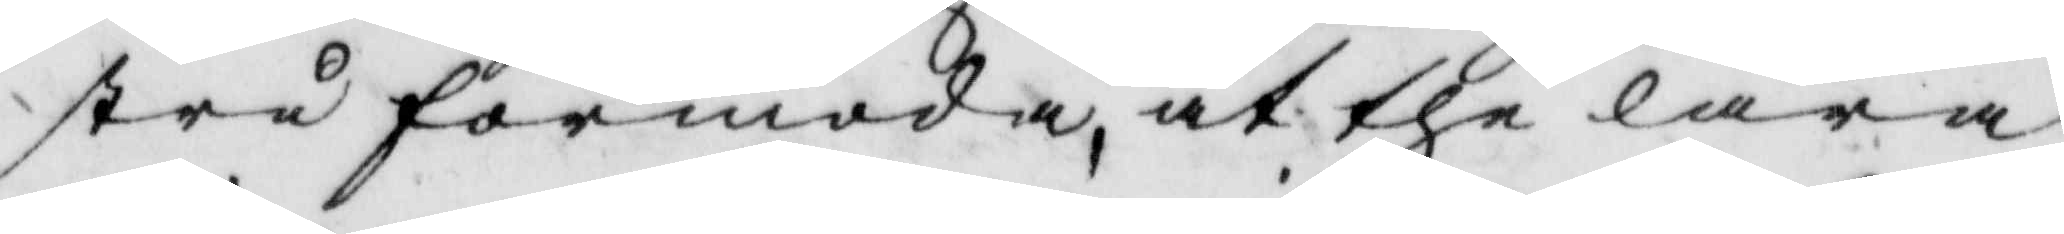stru förmoda, at the lära
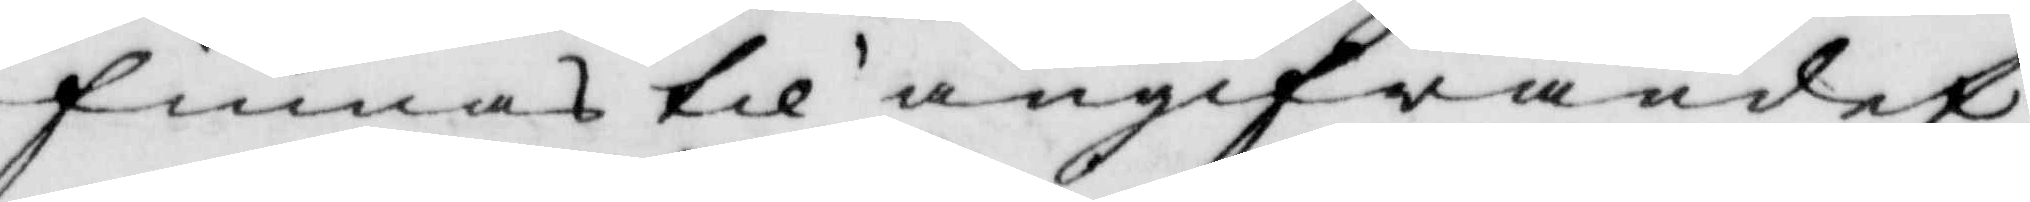finnas til angifwandet
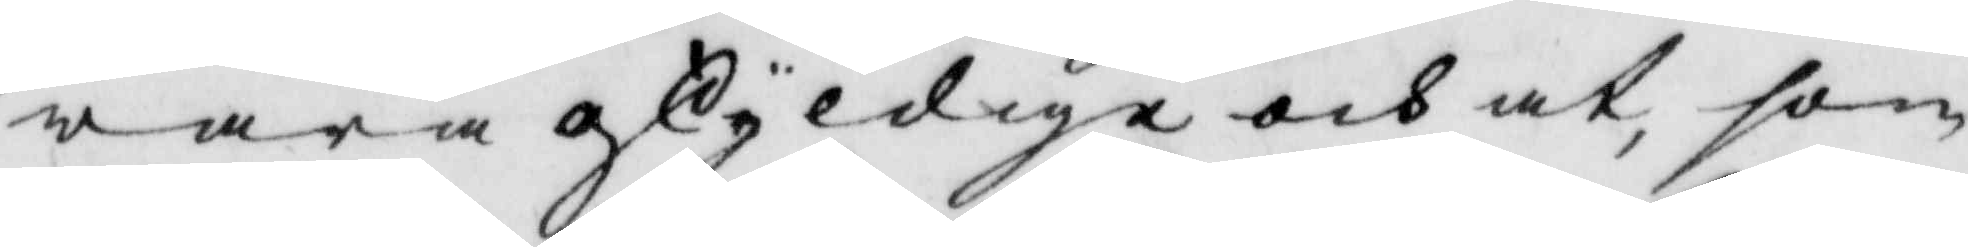wara oskyldige och at, som
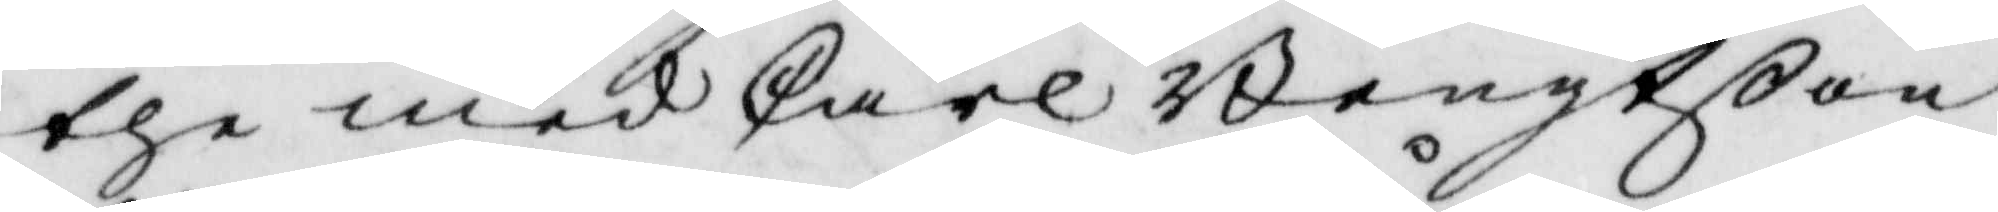the med Carl Bengtßon
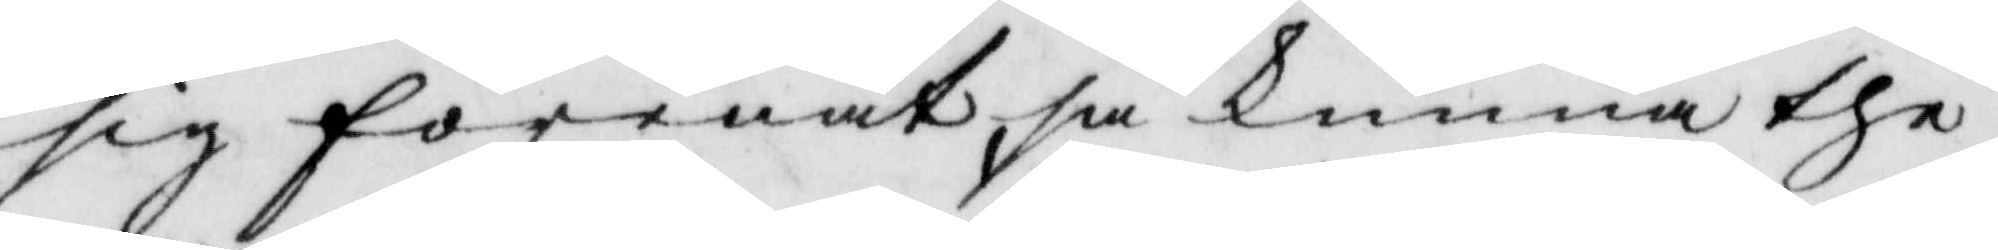sig förenat, så kunna the
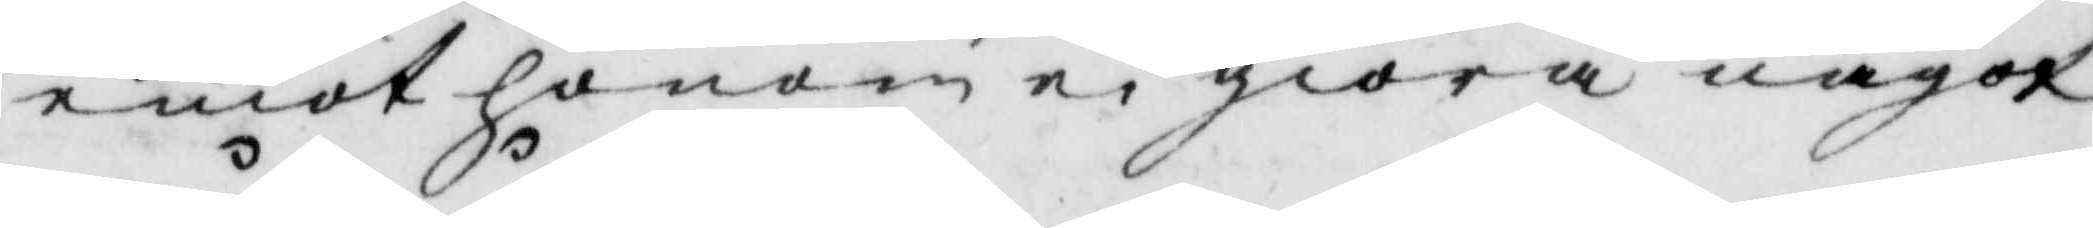emot honom ei giöra något
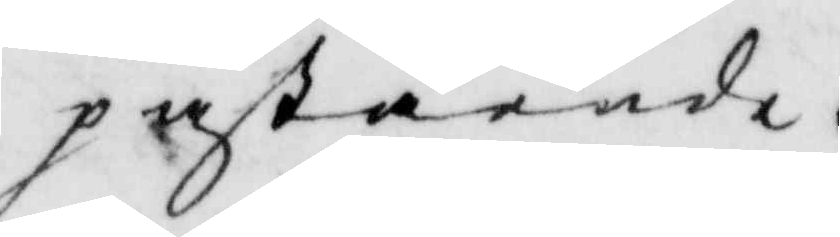påstående.
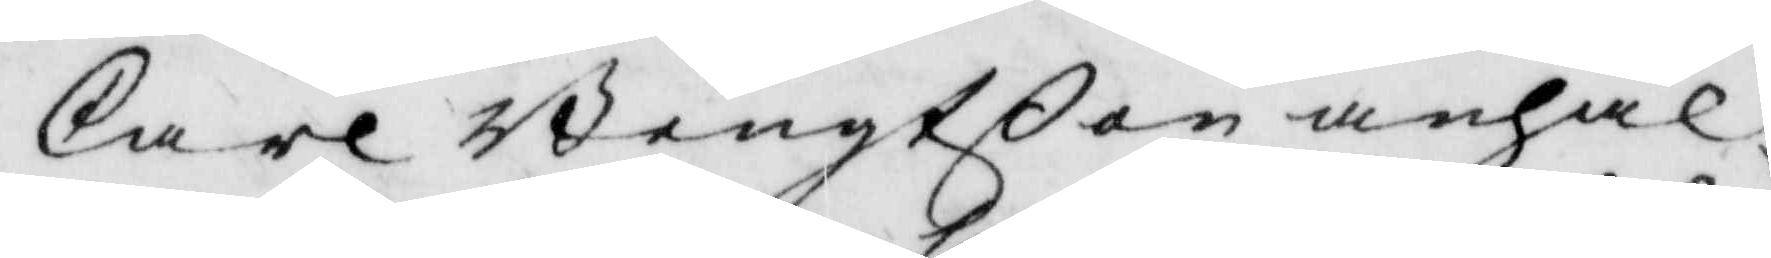Carl Bengtßon anhål¬
